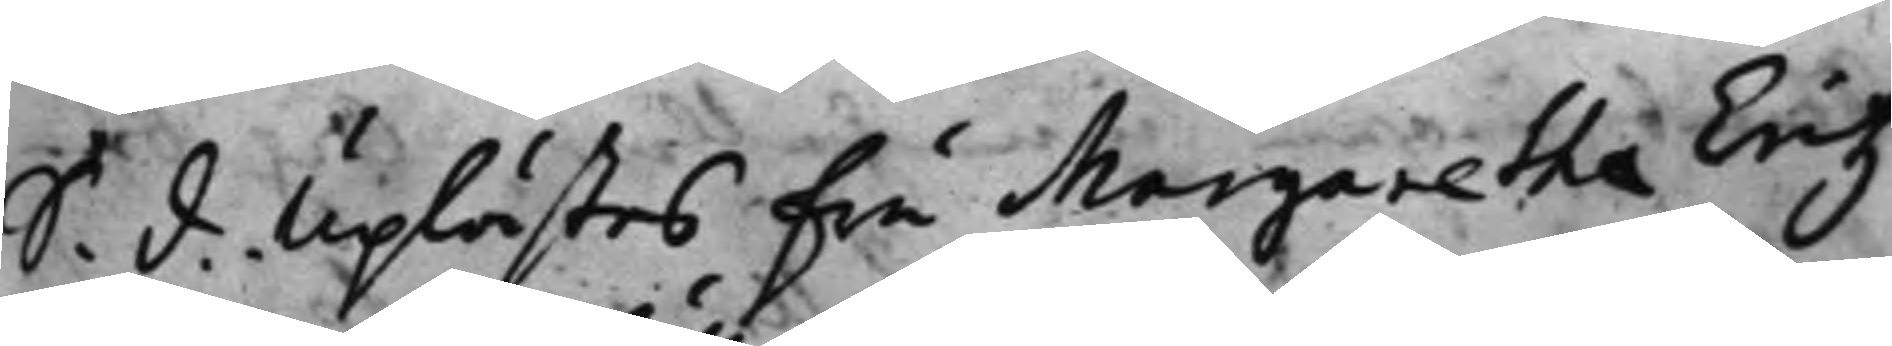S. d. Uplästes fru Margaretha Eritz,
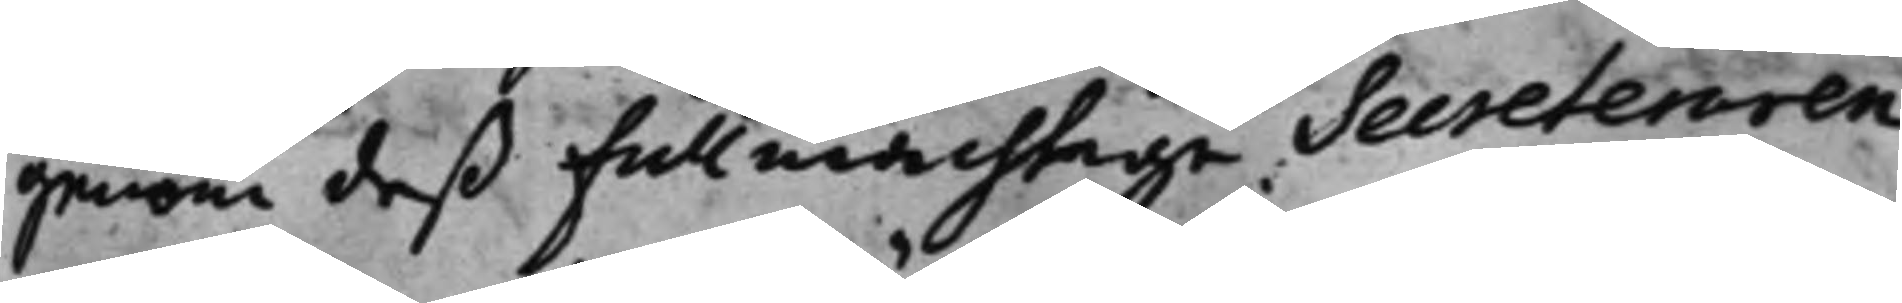genom deß fullmächtige Secreteraren
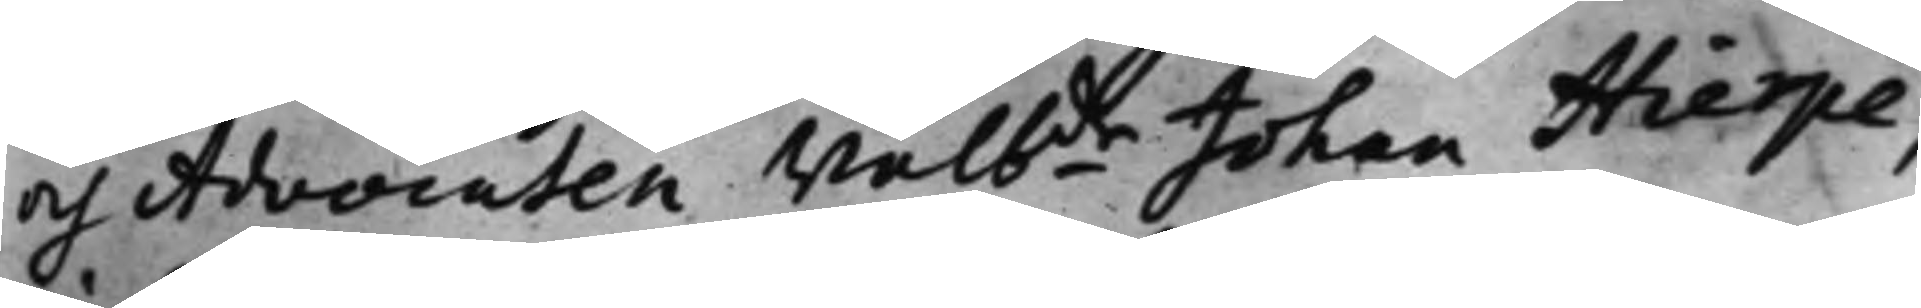och Advocaten Wälbde Johan Hierpe,
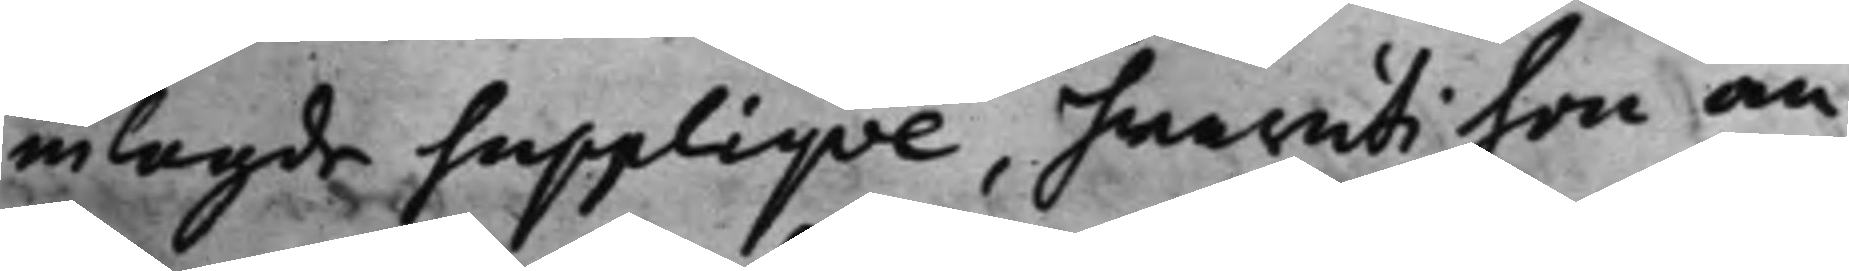inlagde suppliqve, hwaruti hon an¬
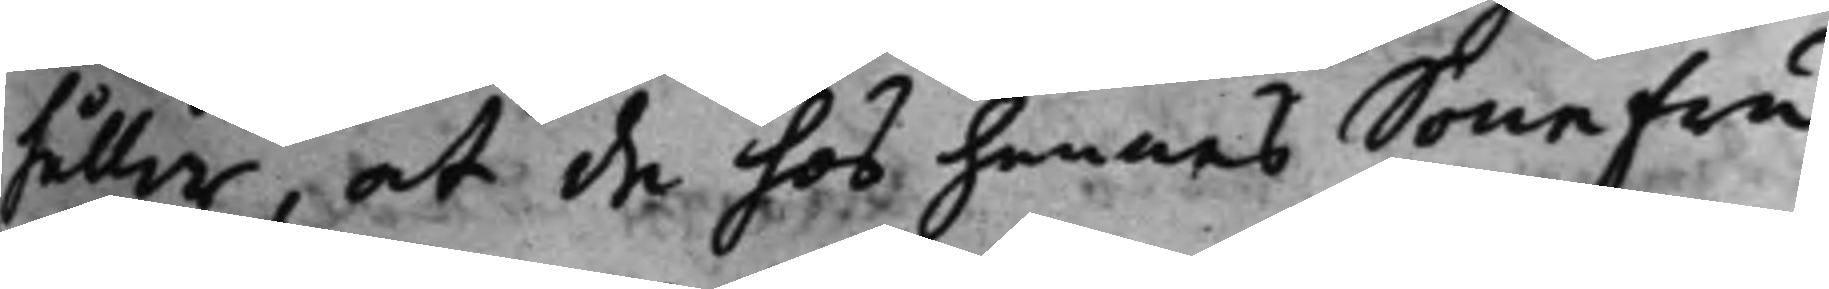håller, at de hos hennes SoneFru
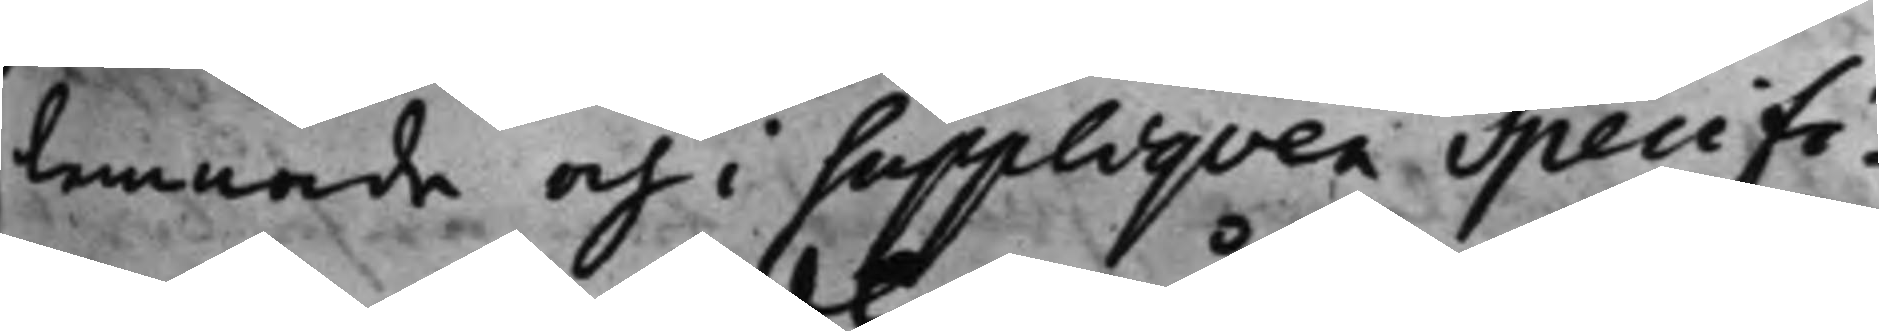lemnade och i suppliqven Specifi¬
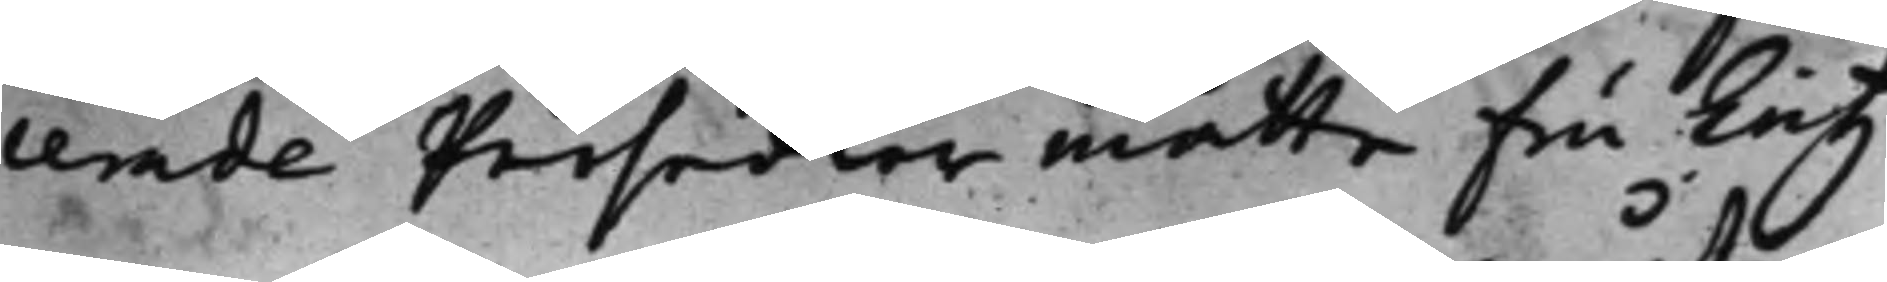cerade Persedler måtte Fru Eritz
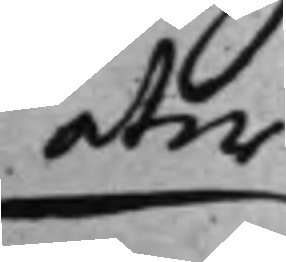åter
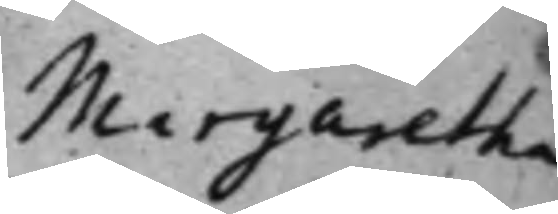Margaretha
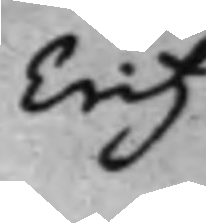Eritz
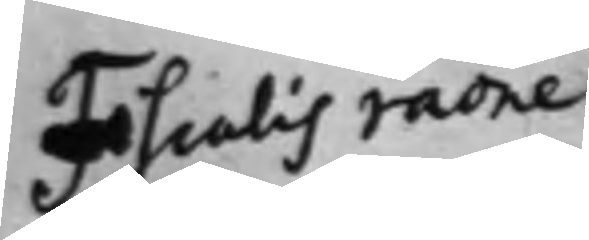Fiscales raone
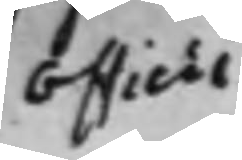Officii
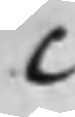C
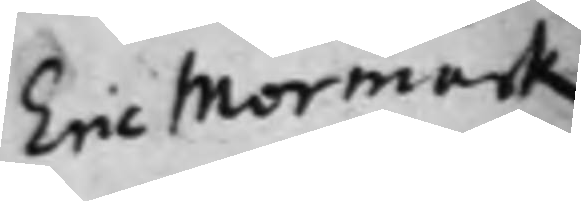Eric Mormark
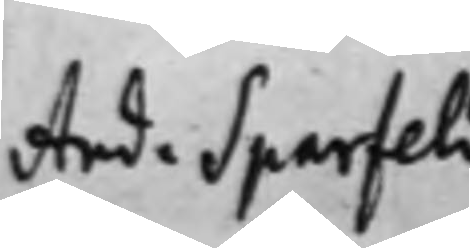And. Sparfeld
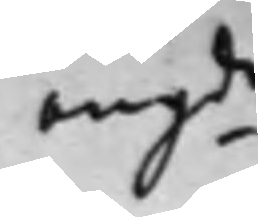angde
